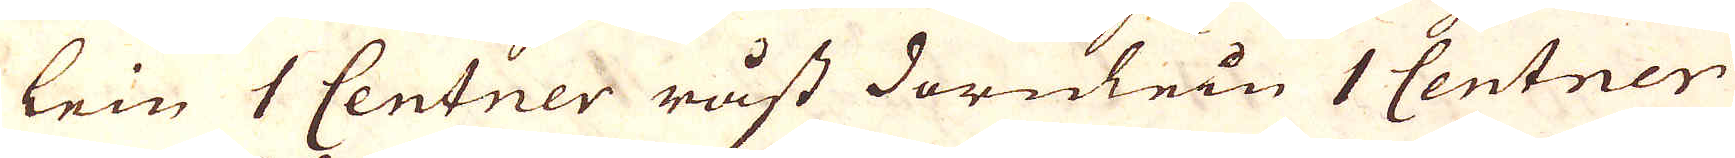lein 1 Centner råst dornlein 1 Centner
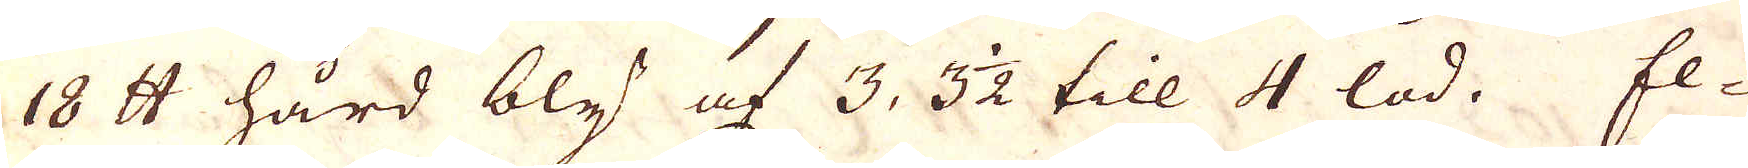18 skålpund hård bly af 3 3 1/2 till 4 lod. El-
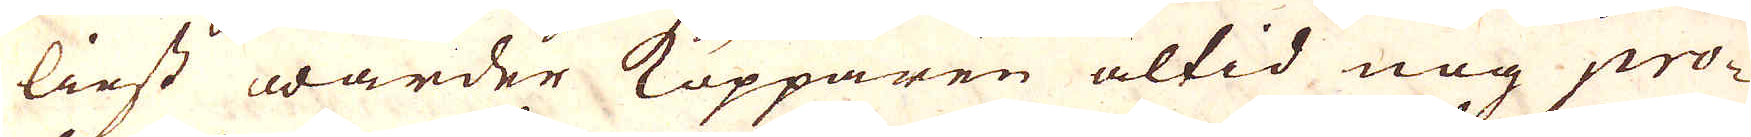liest warder Kopparen altid nog pro-
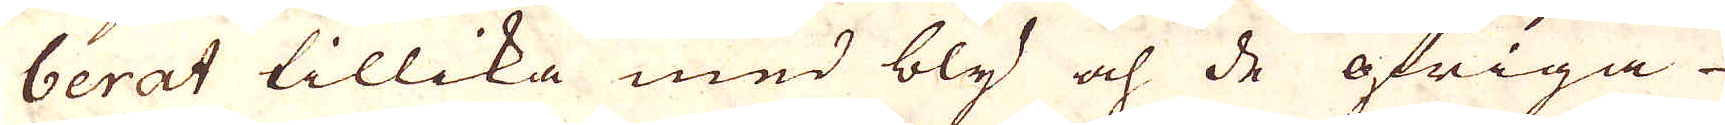berat tillika med bly och de öfriga
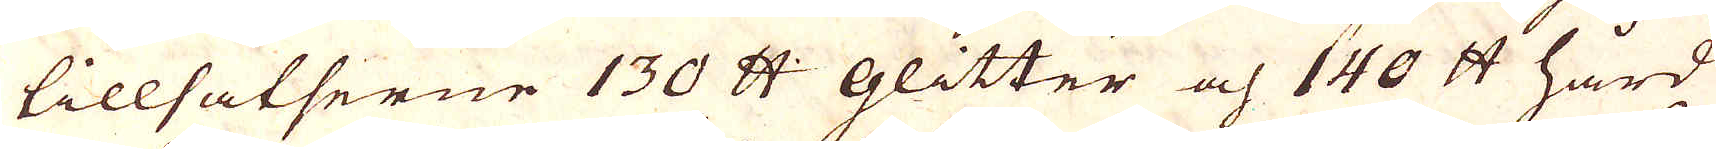tillsatserne 130 skålpund glitter och 140 skålpund hård
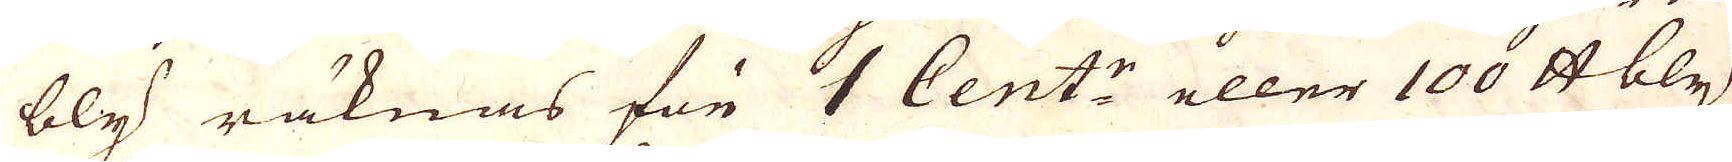bly räknas för 1 Cent:r eller 100 skålpund bly,
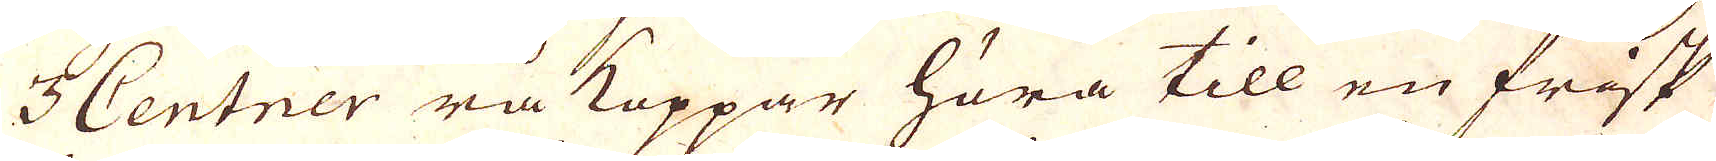3 Centrer rå Koppar höra till en frisk
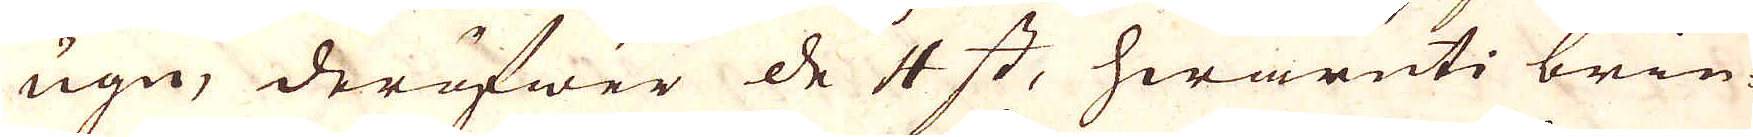ugn, deröfwer de 4 st, hwaruti brin-
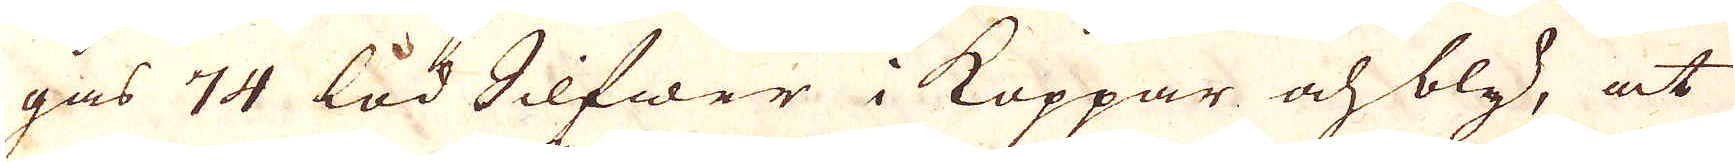gas 74 lod Silfwer i Koppar och bly, at
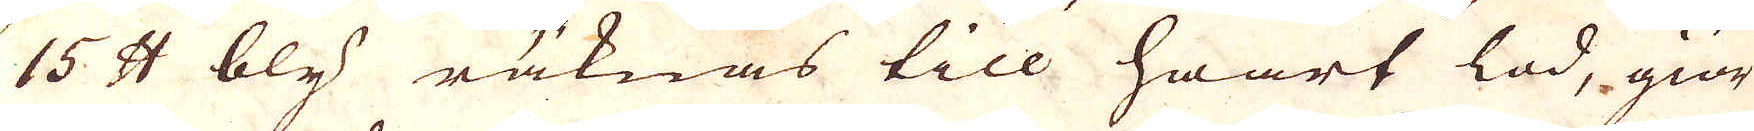15 skålpund bly räknas till hwart lod, giör
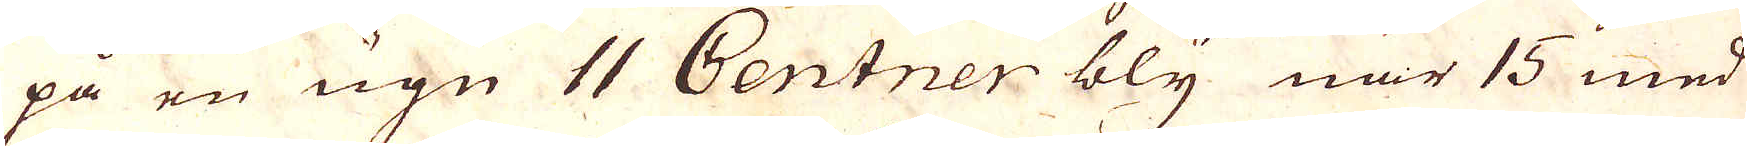på en ugn 11 Centner bly när 15 med
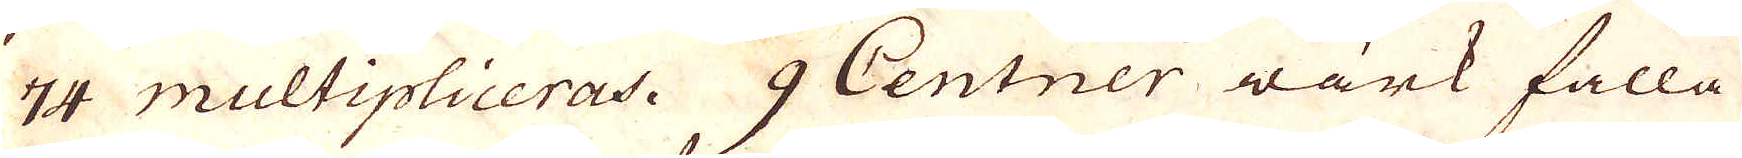74 multipliceras. 9 Centner wärk falla
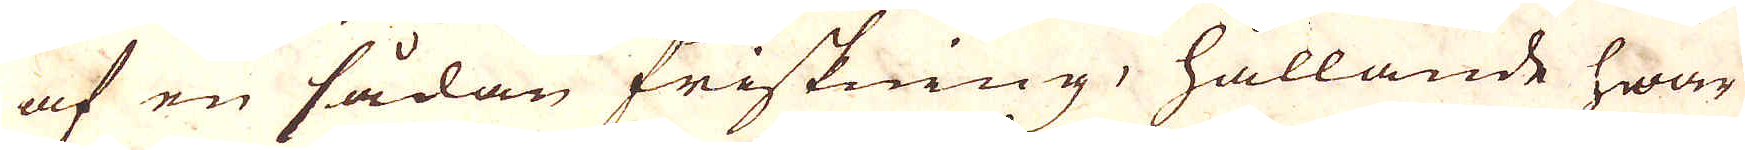af en sådan friskning, hållande hwar
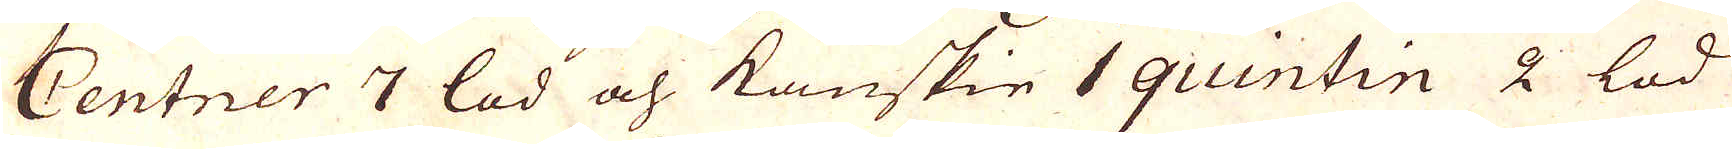Centner 7 lod och kanskie 1 quintin 2 lod
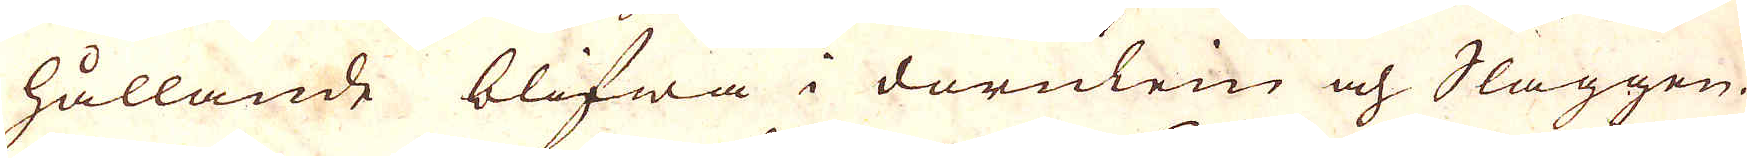hållande blifwa i dornlein och Slaggen.
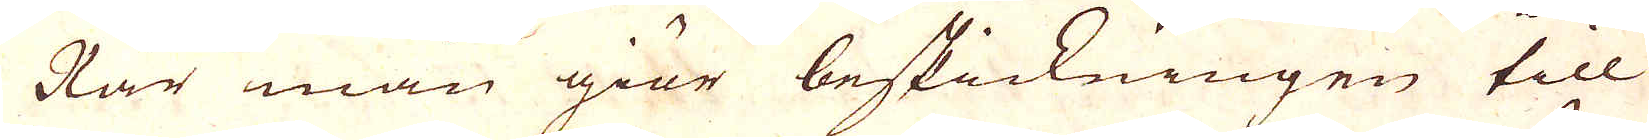När man giör beskickningen till
